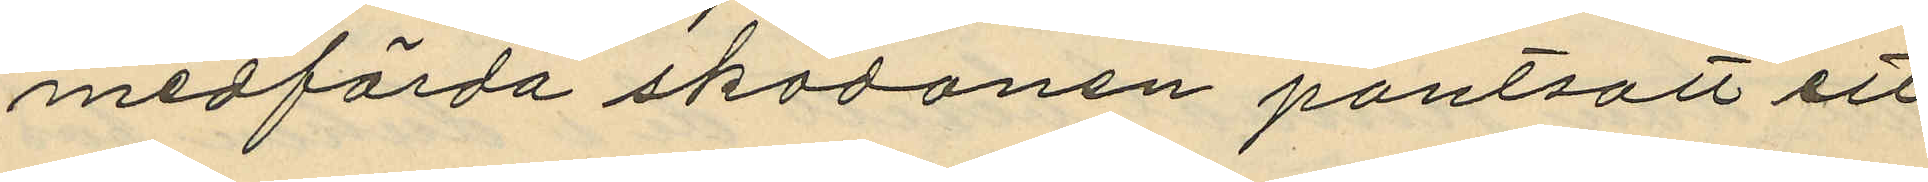medförda skodonen pantsatt ett
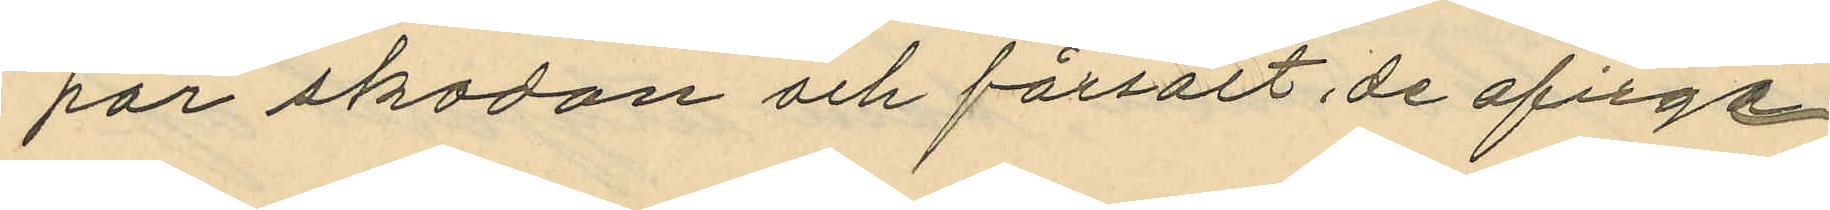par skodon och försålt de ofirge
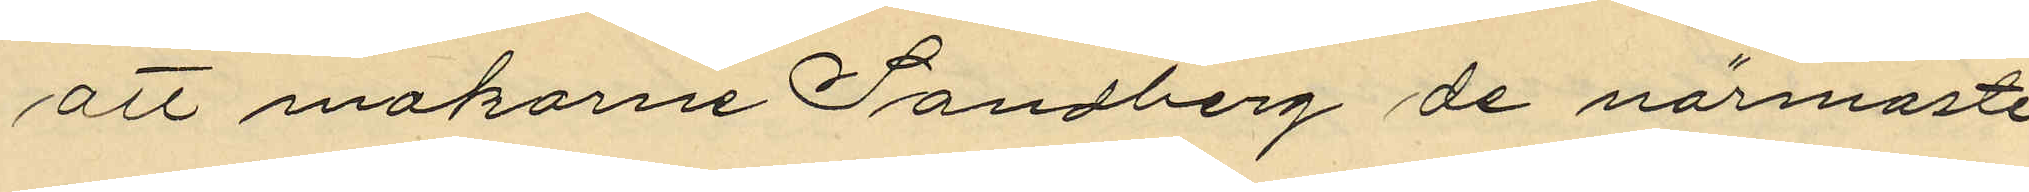att makarne Sandberg de närmaste
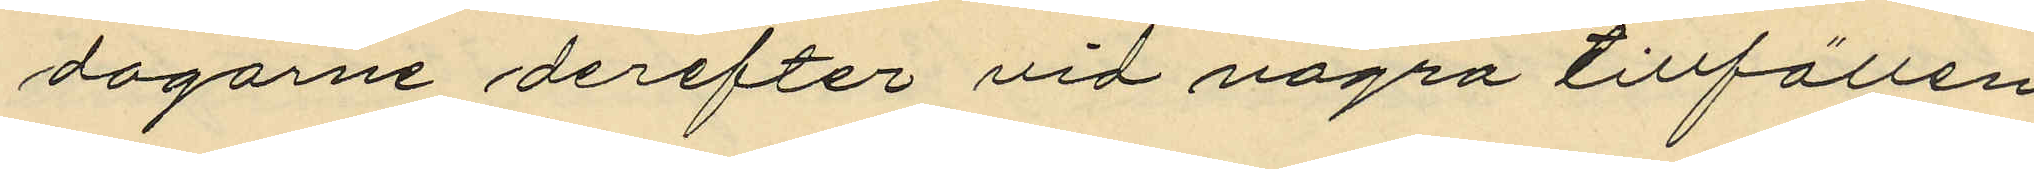dagarne derefter vid några tillfällen
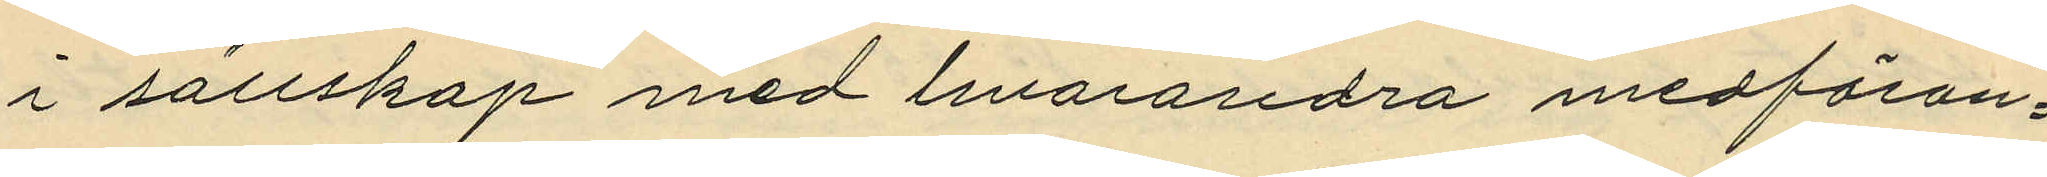i sällskap med hvarandra medföran¬
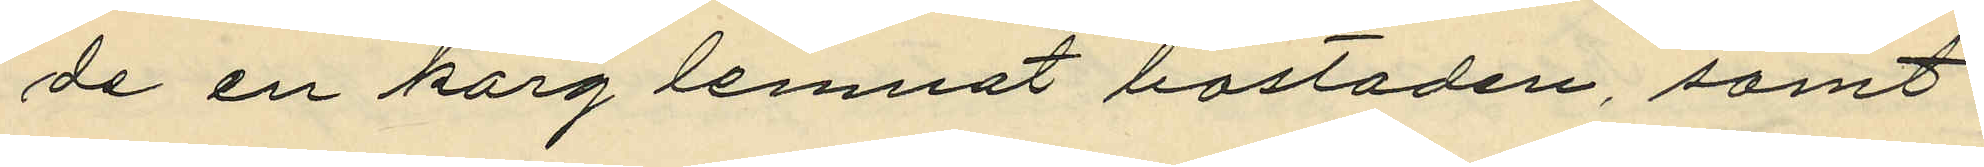de en korg lemnat bostaden, samt
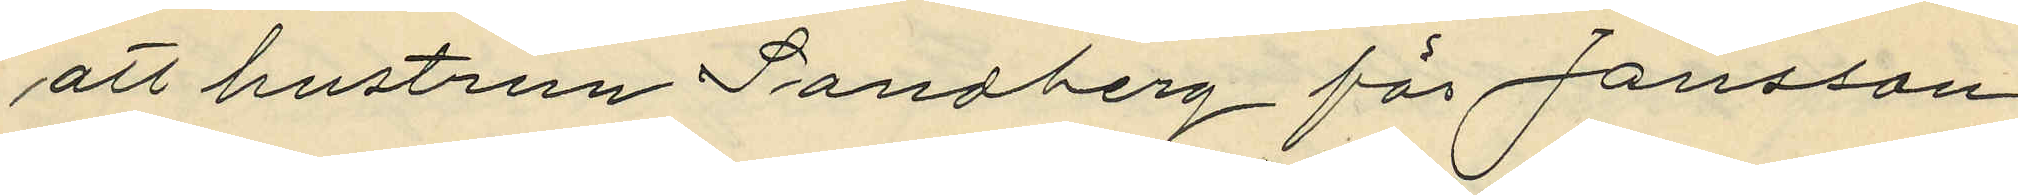att hustrun Sandberg för Jansson
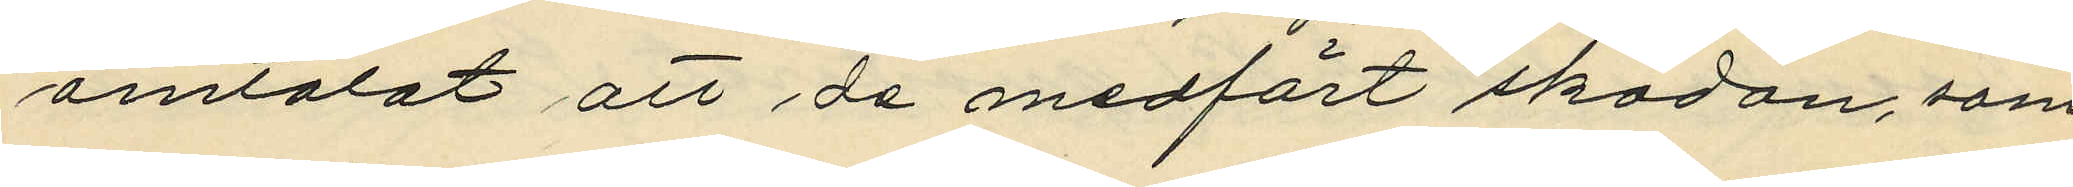omtalat att de medfört skodon som
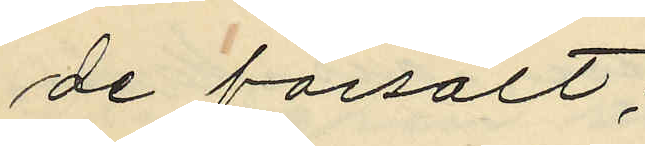de försålt;
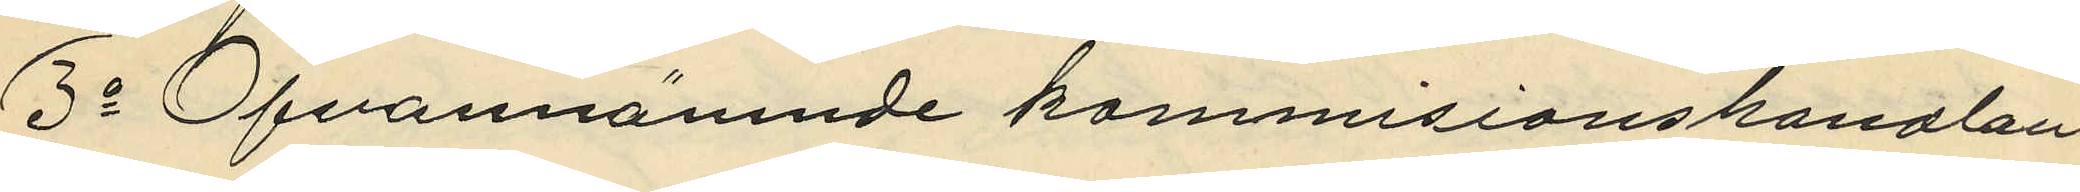3o Ofvannämnde kommissionshandlan¬
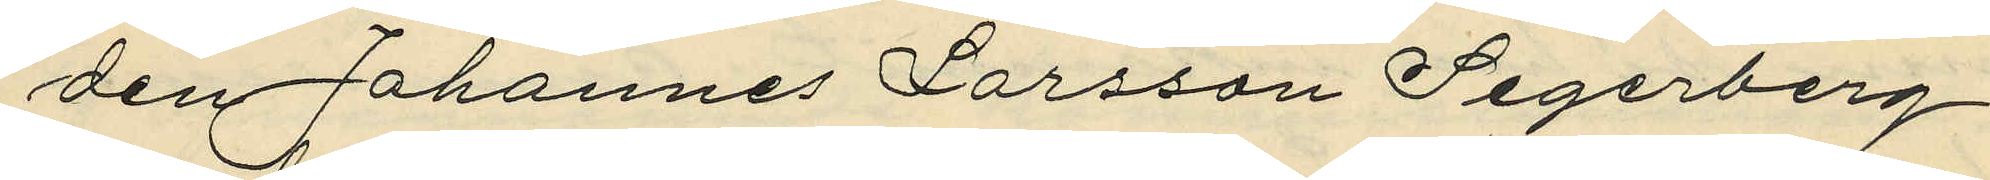den Johannes Larsson Segerberg:
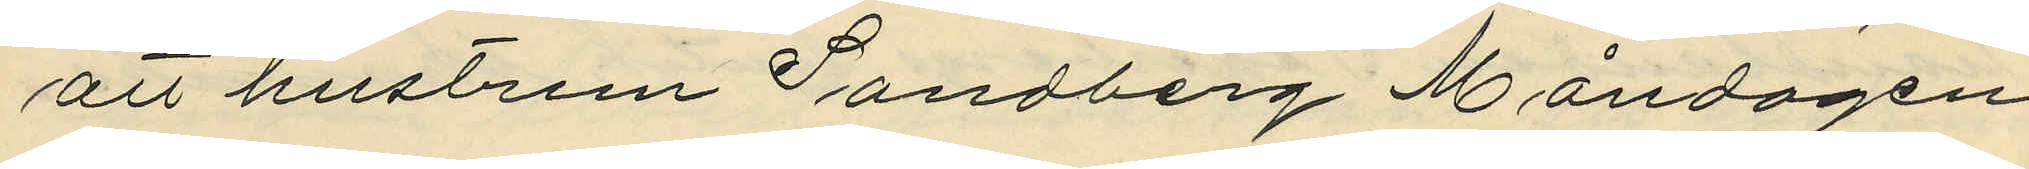att hustrun Sandberg Måndagen
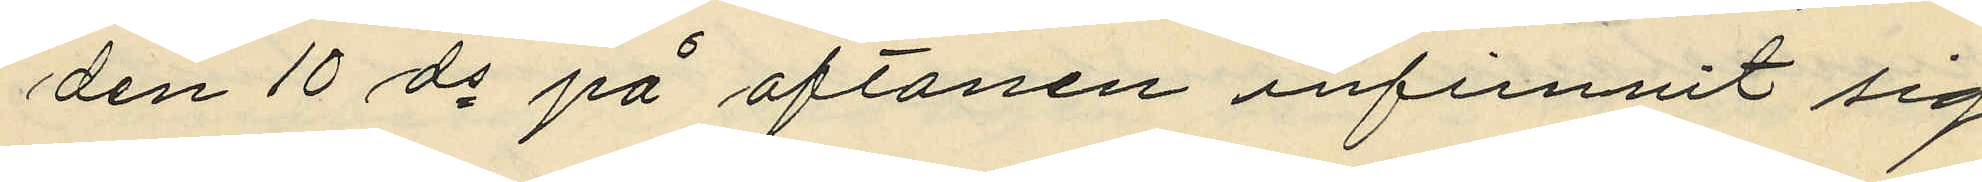den 10 ds på aftonen infunnit sig
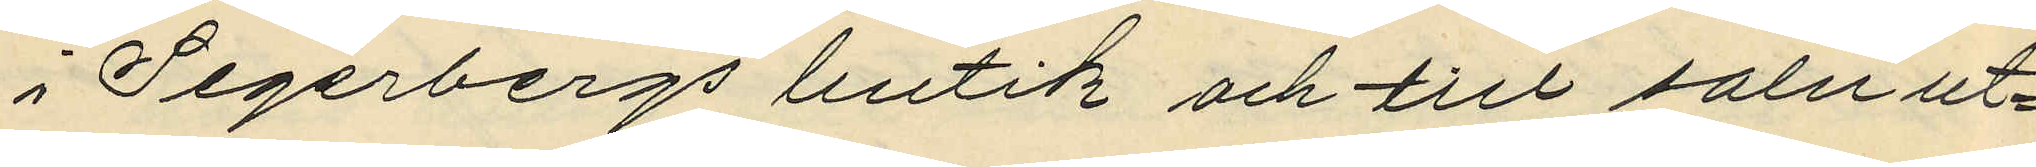i Segerbergs butik och till salu ut¬
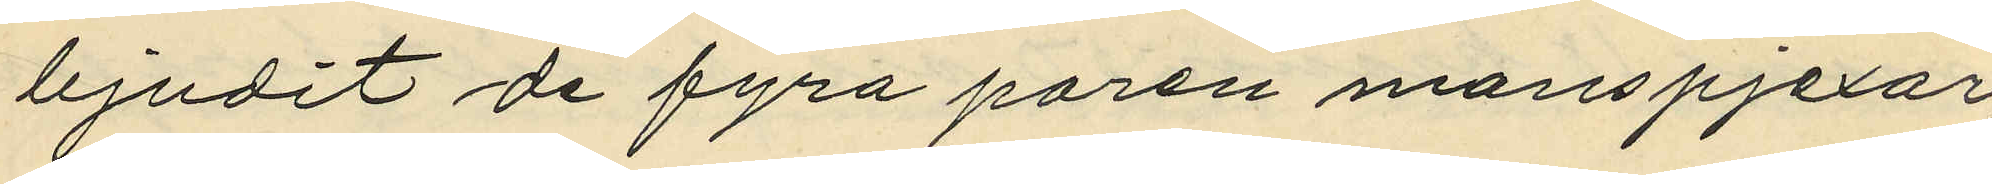bjudit de fyra paren manspjexor,
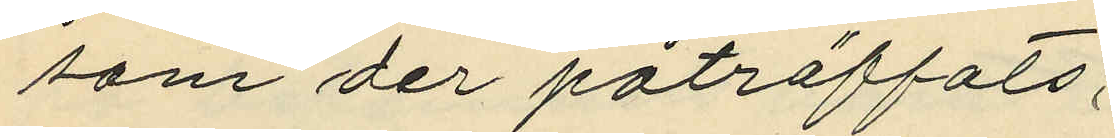som der påträffats;
